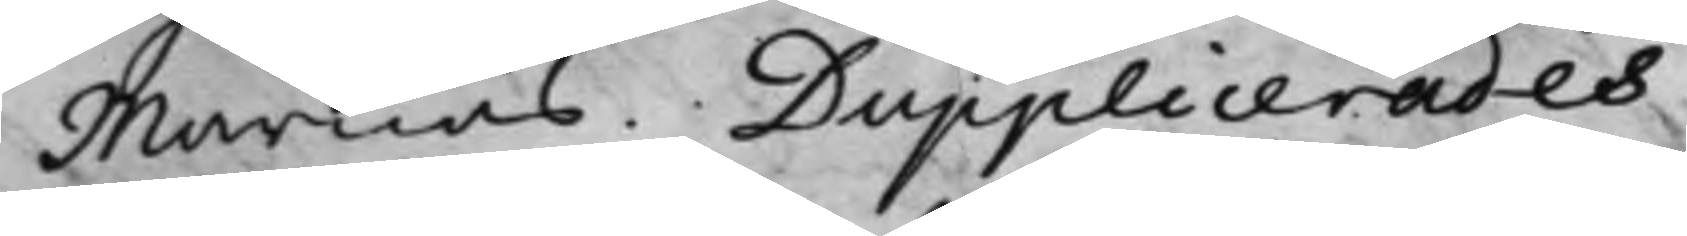Marnäs. Dupplicerades.
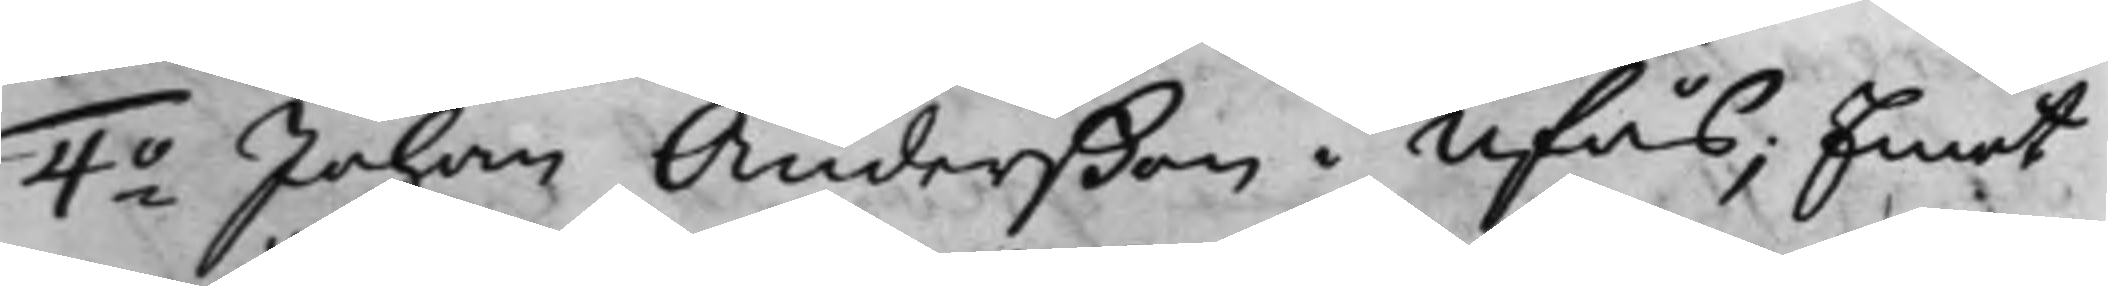4o Johan Anderßon i Ufås; Emot
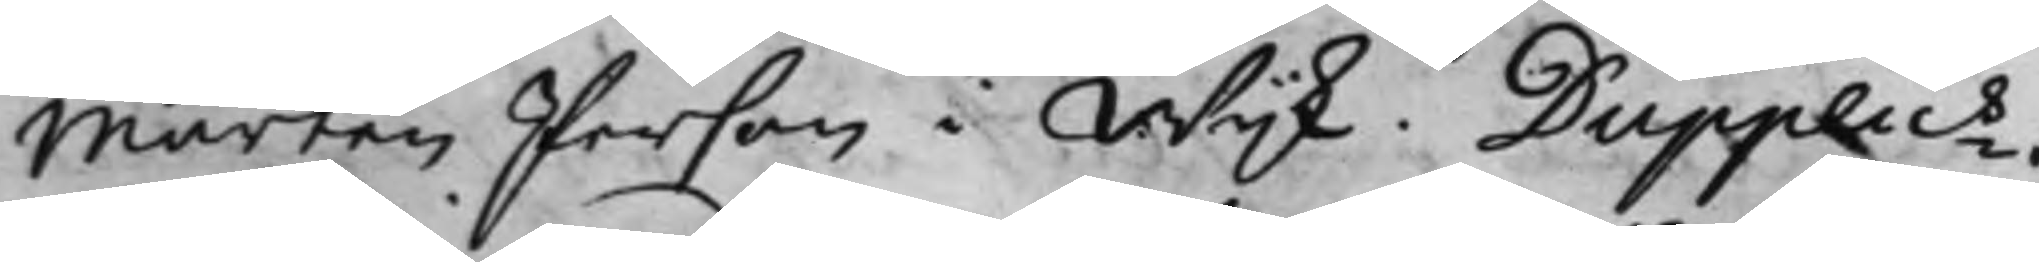Mårten Person i Wijk. Dupplics.
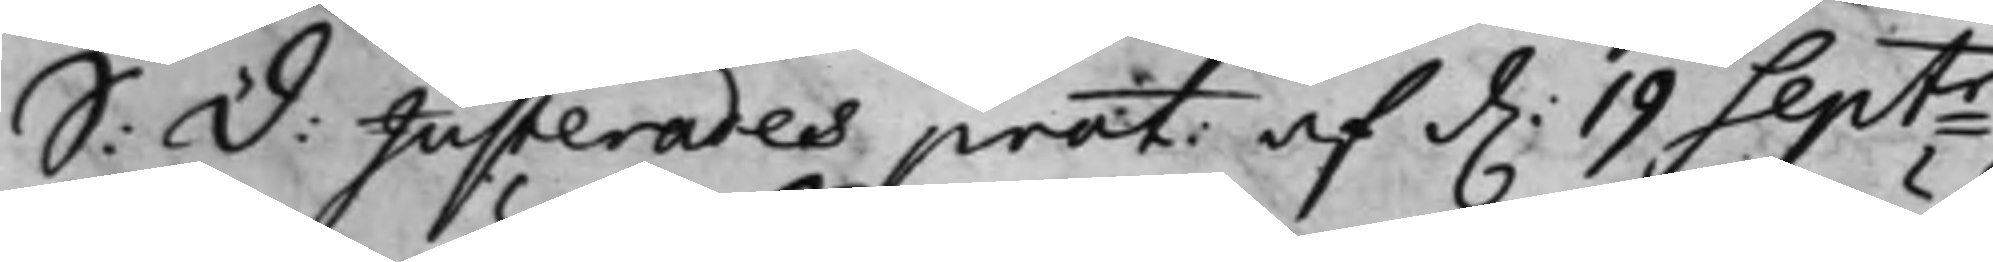S: D: Justerades prot: af d. 19 Septr
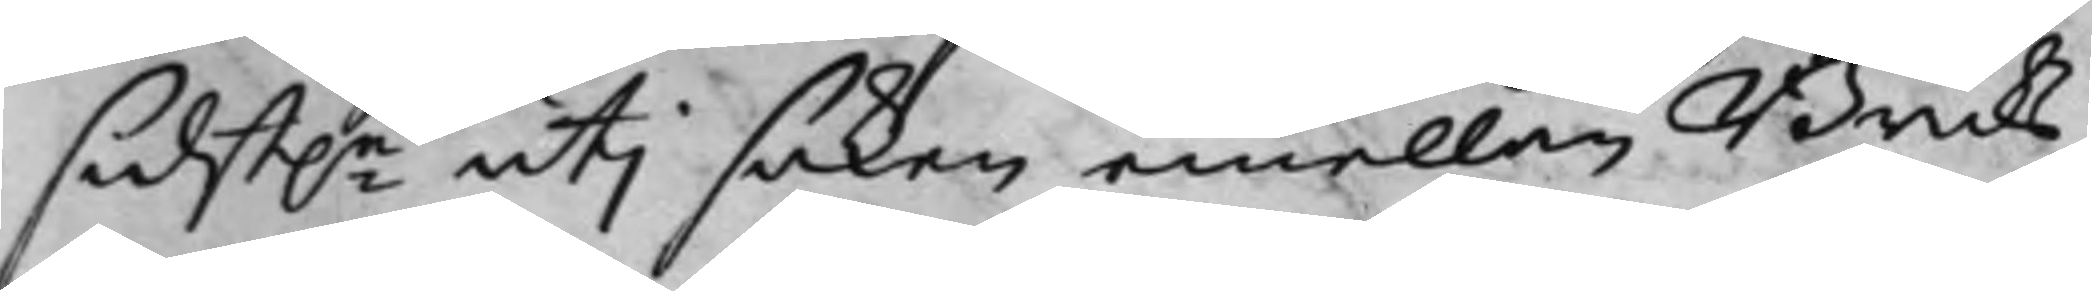sidst.e uti saken emellan Bruks¬
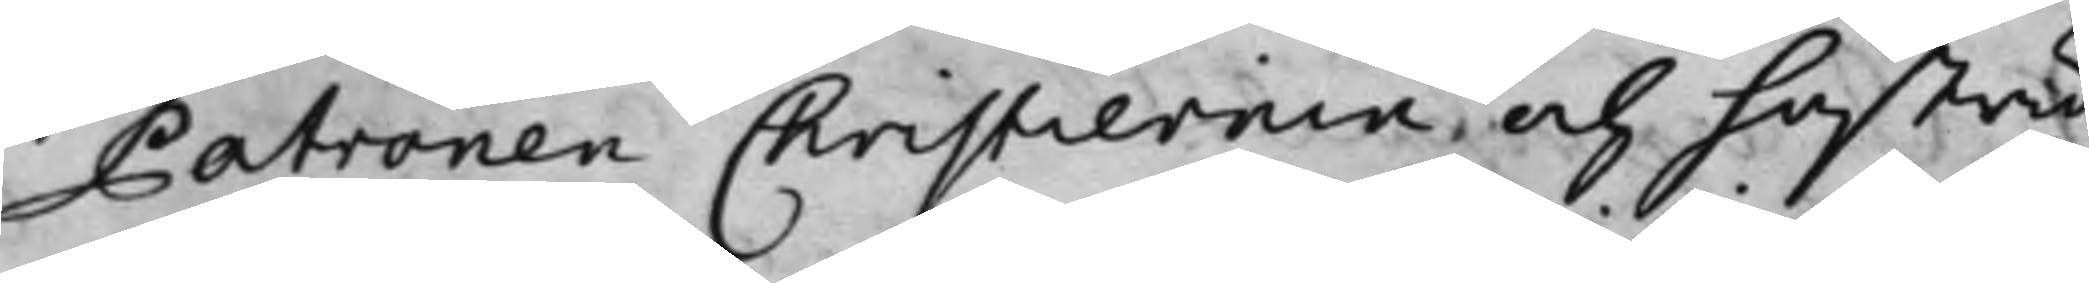Patronen Christiernin och hustru
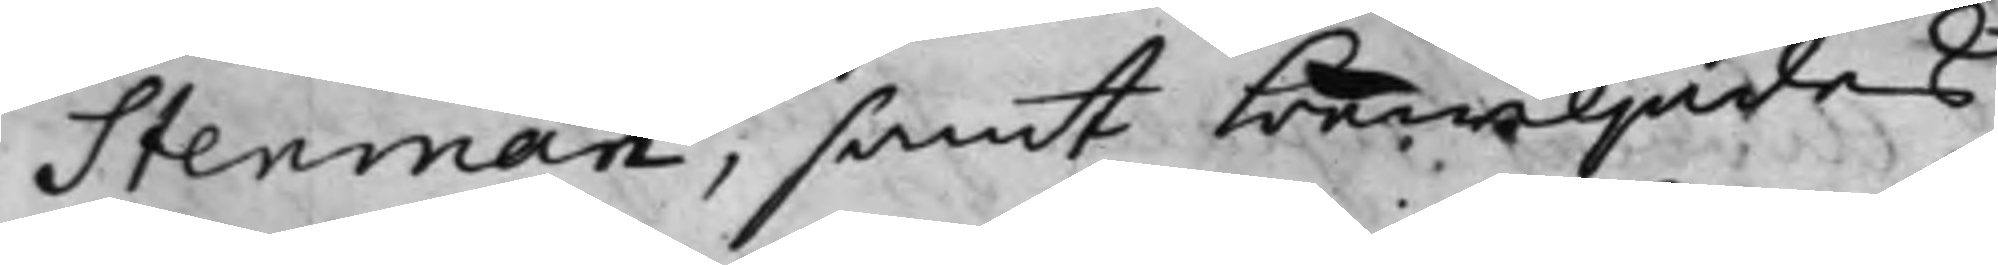Stenman, samt bewiljades
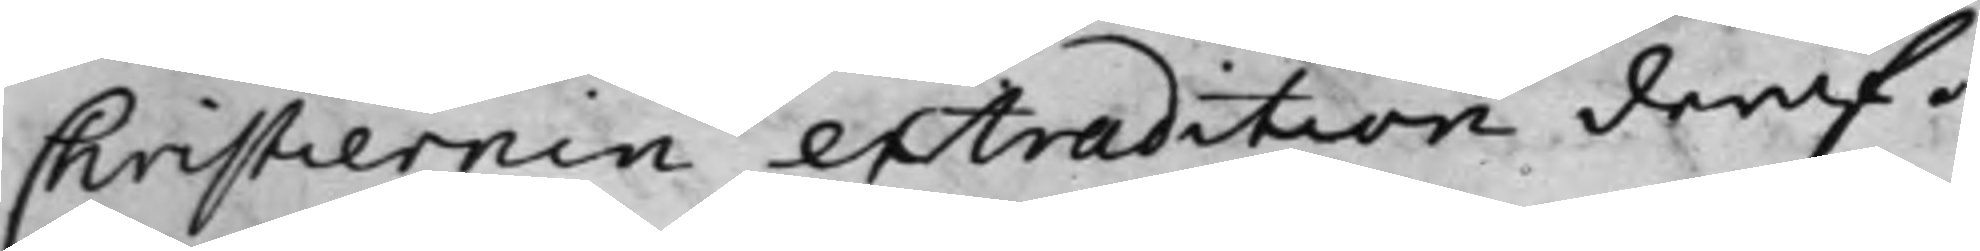Christiernin extradition deraf.
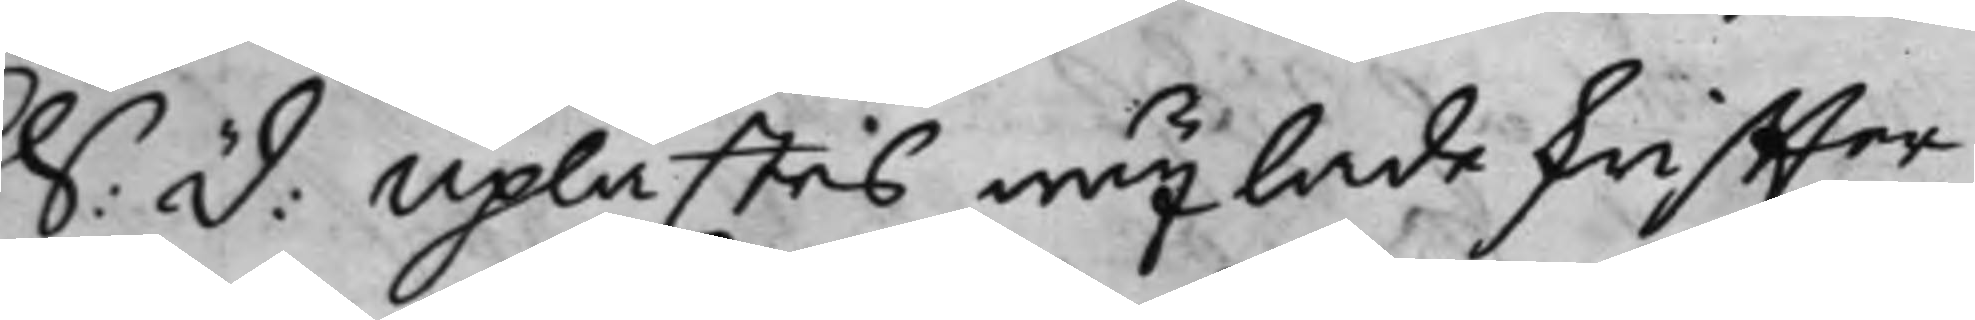S: D: Uplästes wäxlade skriffter
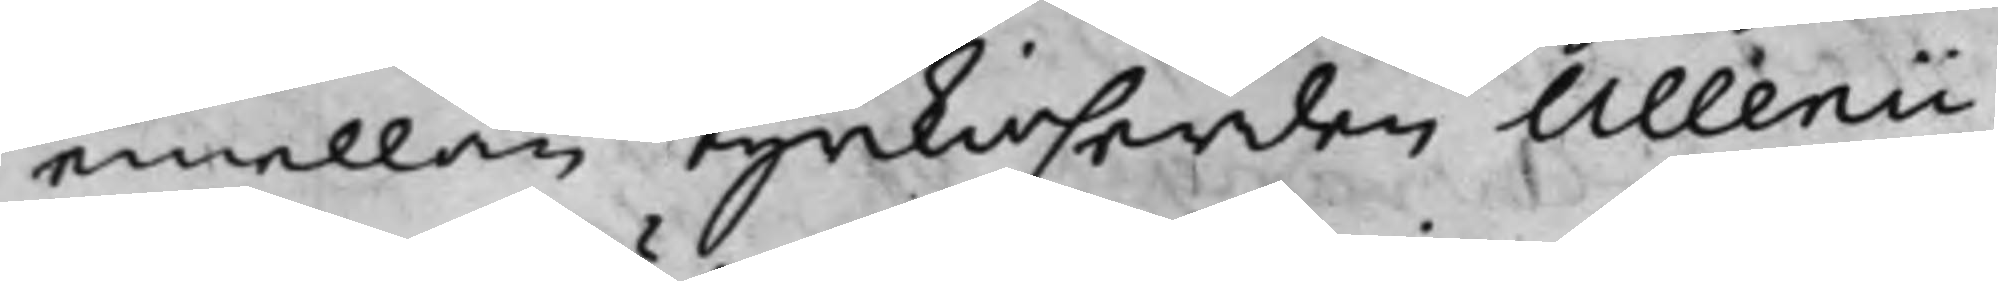emellan Kyrkioherden Ullenii
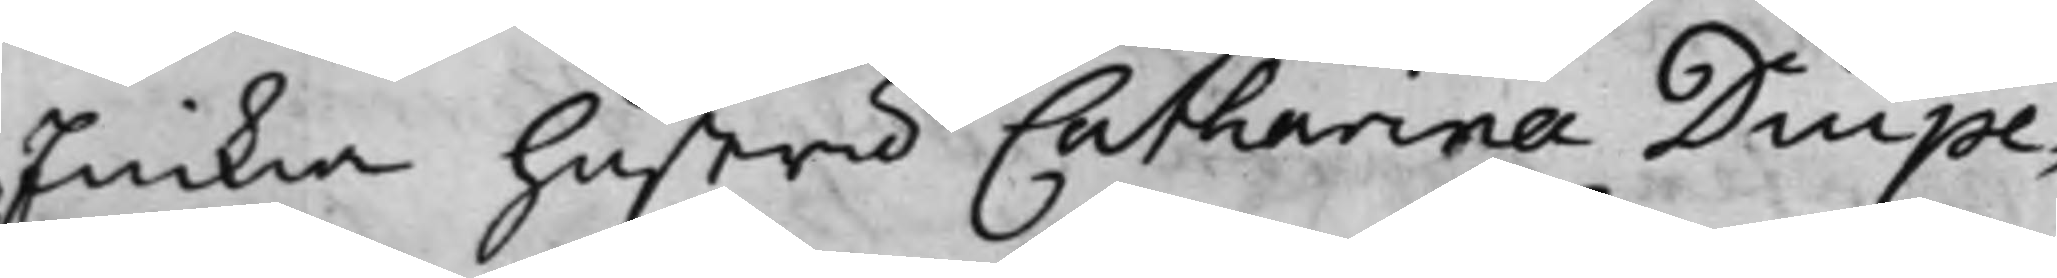Enckia Hustru Catharina Diupe¬
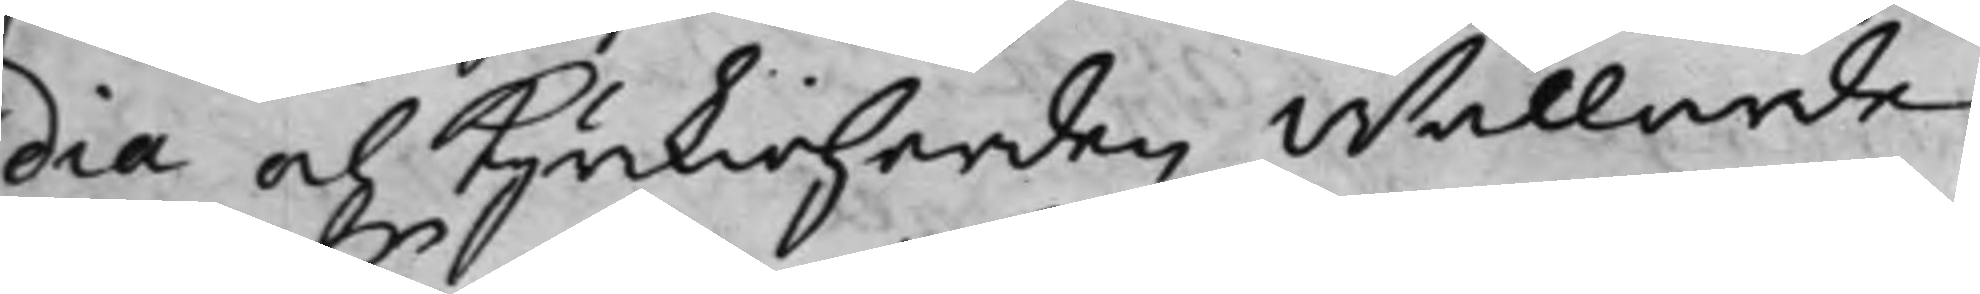dia och Kyrkioherden Wällärde
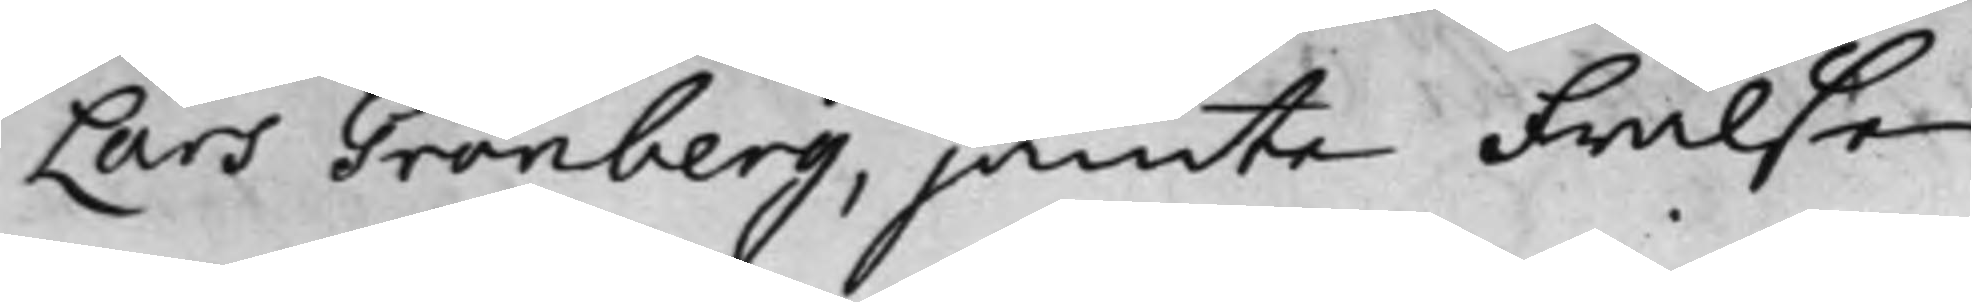Lars Grönberg, jämte Frälse¬
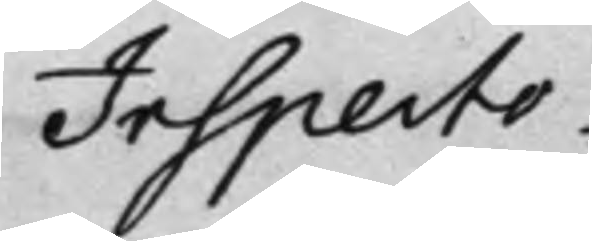Inspecto¬
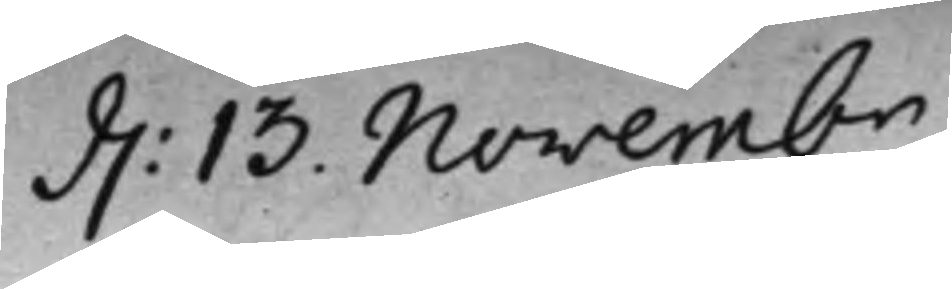d. 13 Novembr
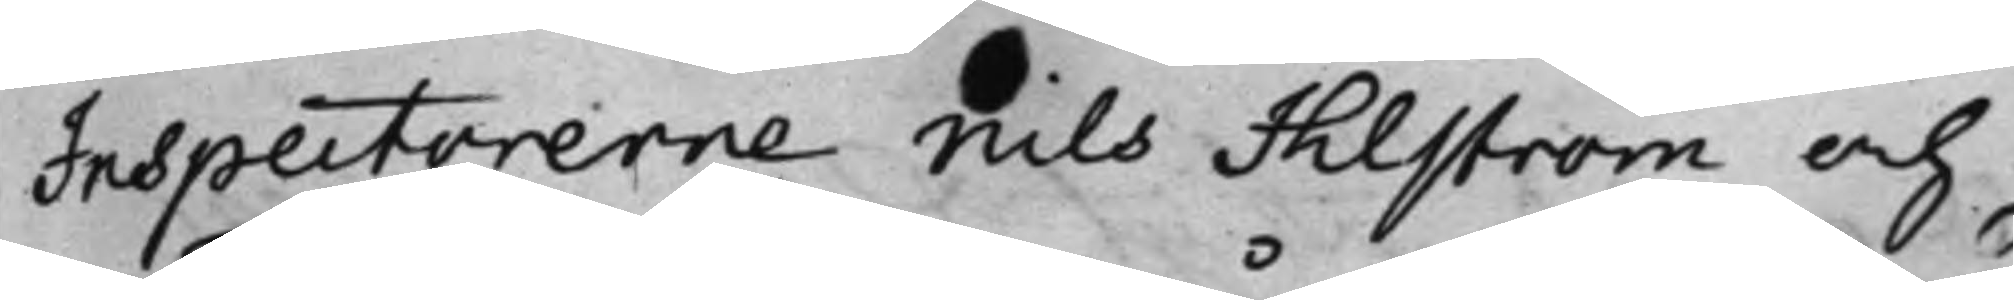Inspectorerne Nils Ihlström och
